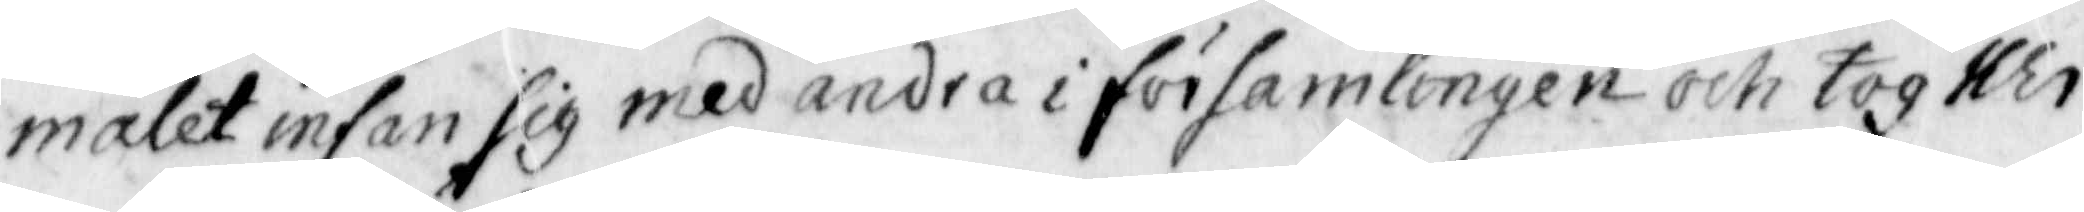målet infan sig med andra i församlingen och tog Her¬
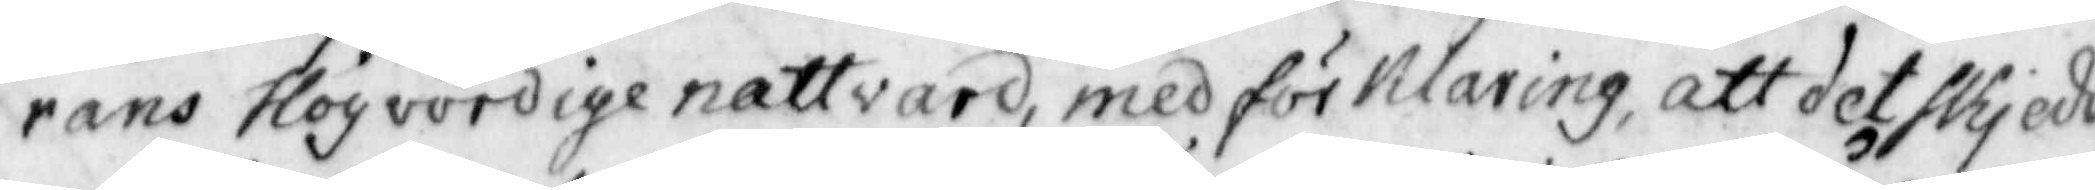rans Högvördige nattvard, med förklaring, att det skjedde
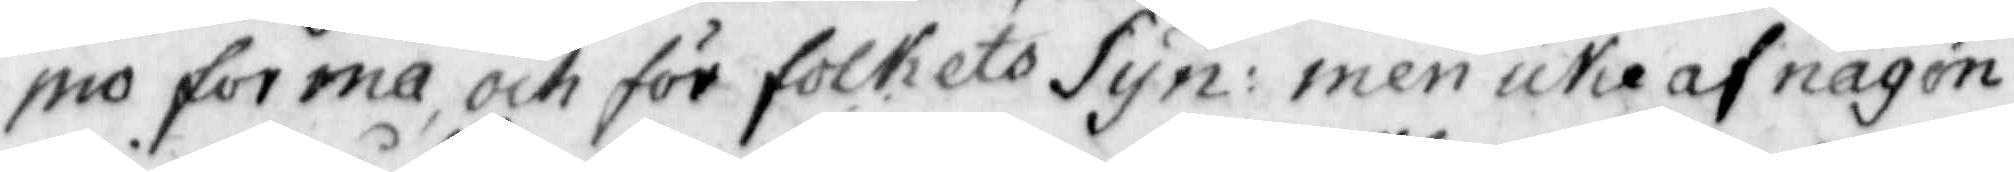pro forma, och för folkets Syn: men icke af någon
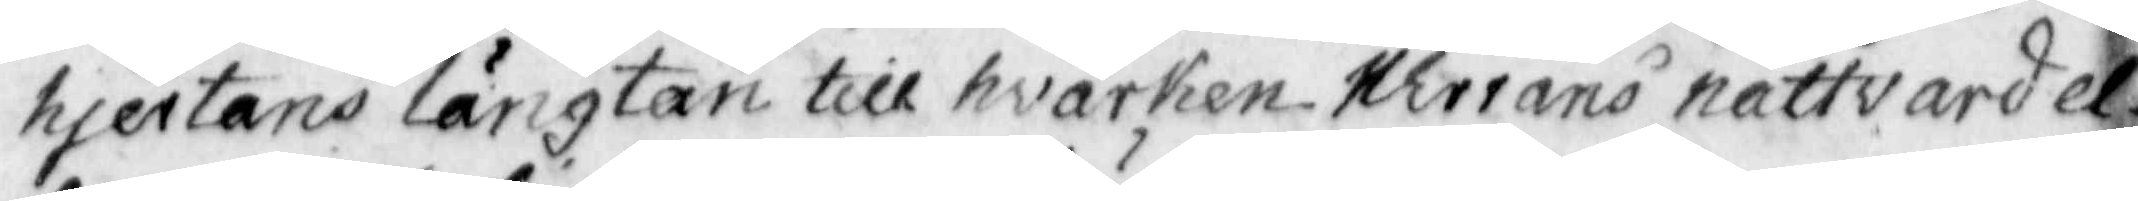hjertans längtan till hwarken Herrans nattvard el¬
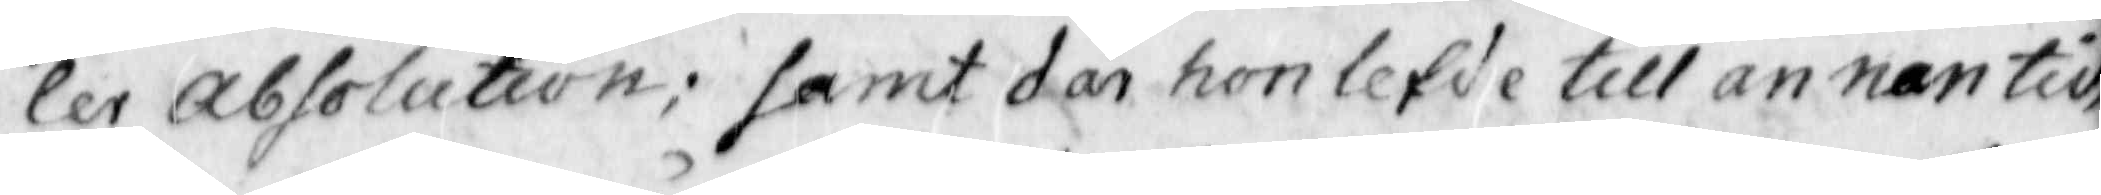ler Absolution; samt där hon lefde till annan tid,
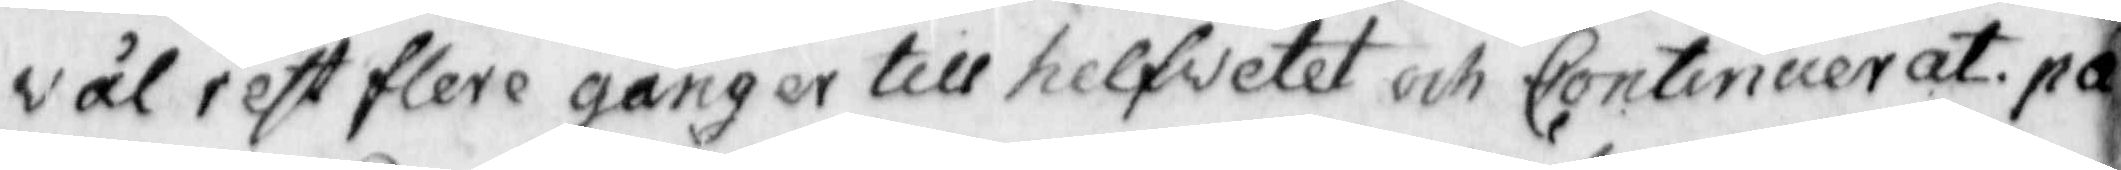väl rest flere gånger till helfvetet och Continuerat. på¬
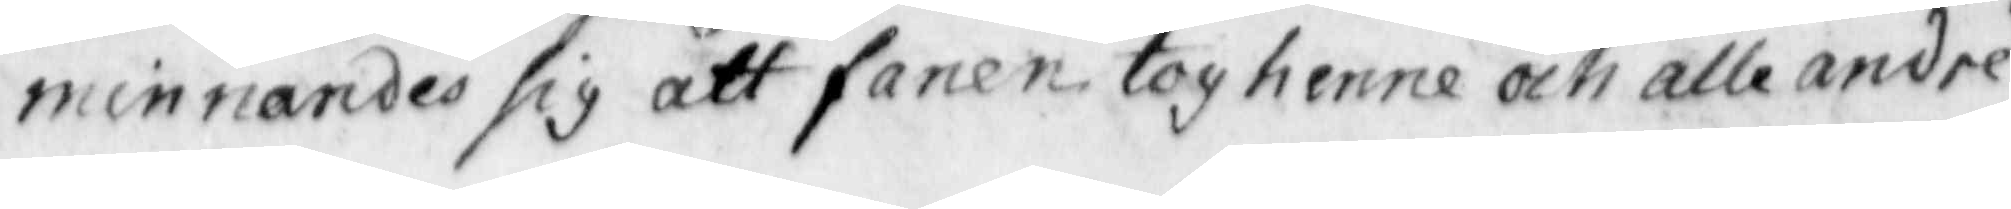minnandes sig att fanen tog henne och alle andre
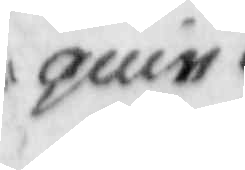guin
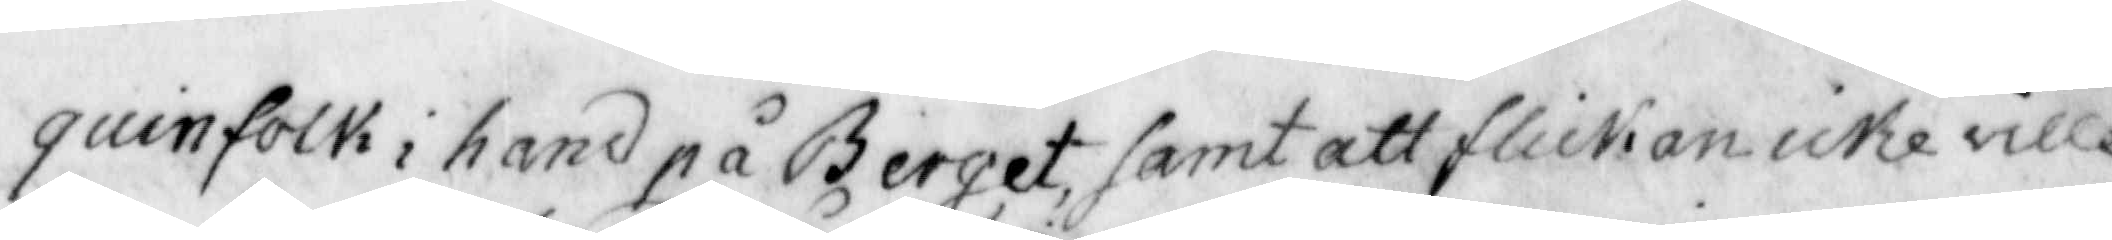quinfolk i hand på Berget, samt att flickan icke ville
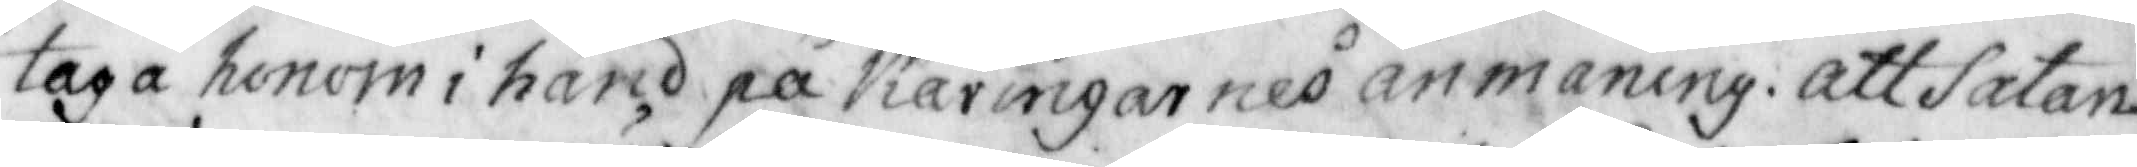taga honom i hand på Kärinarnes anmaning: att Satan
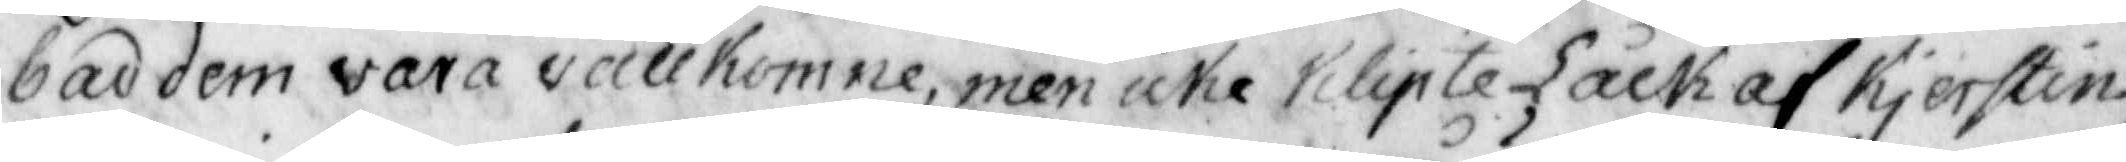bad dem vara vällkomne, men iche klipte Låck af Kjerstin,
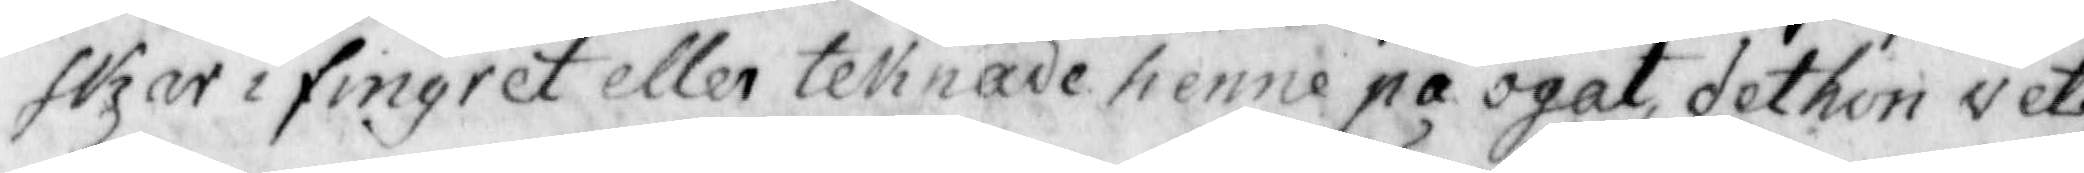skar i fingret eller teknade henne på ögat, det hon vet.
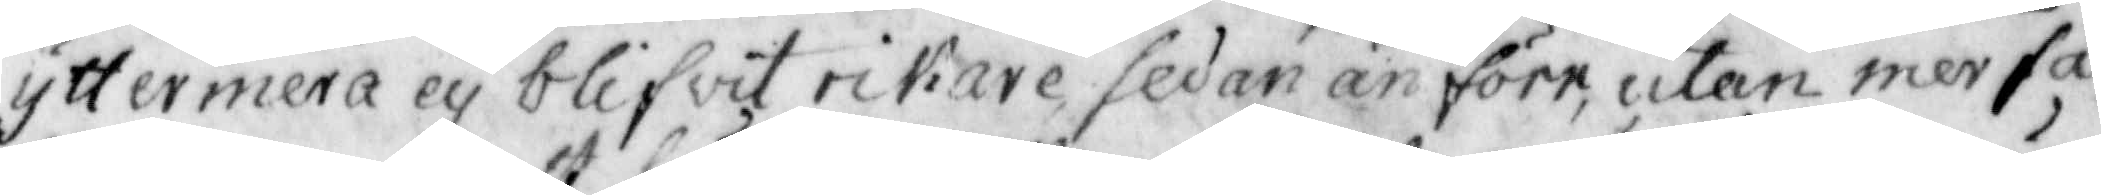yttermera ey blifwit rikare sedan än förr, utan mer fat¬
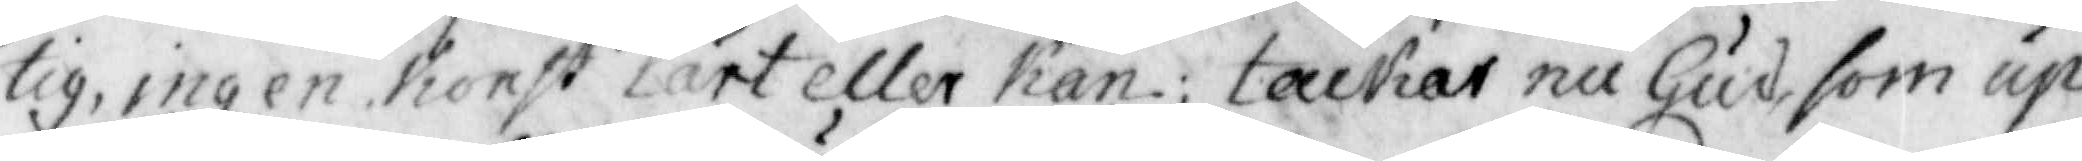tig, ingen Konst  lärt eller kan: tackar nu Gud som up¬
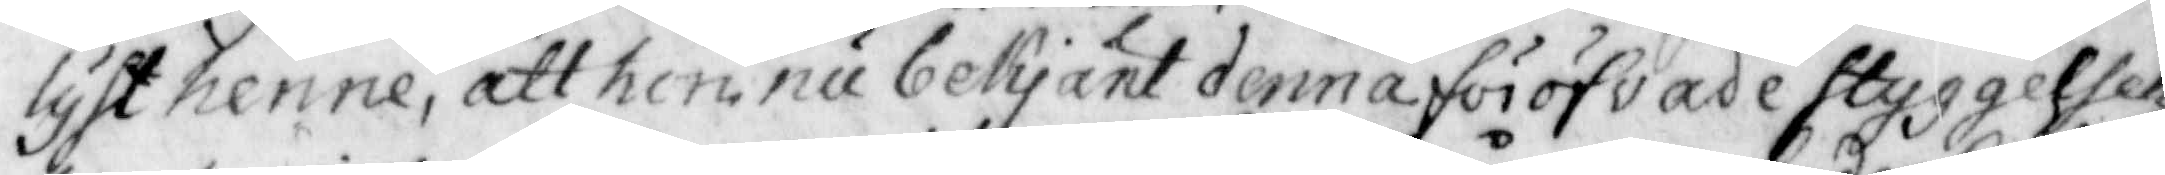lyst henne, att hon nu bekjänt denna föröfvade styggelsen
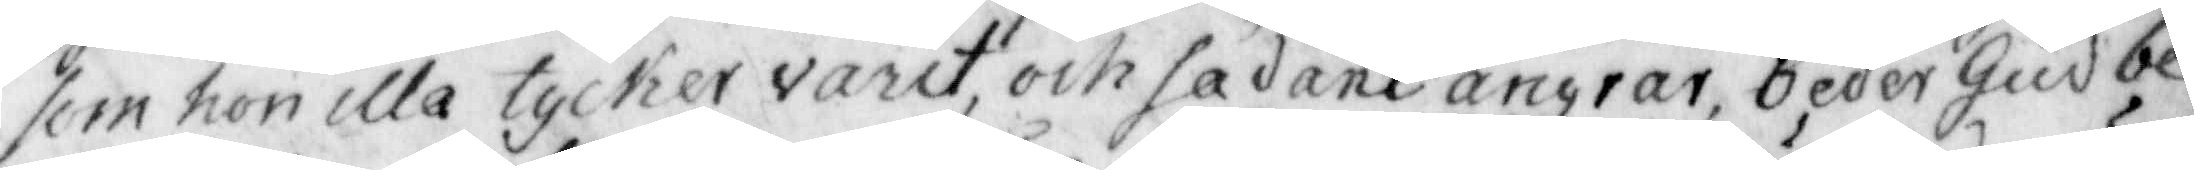som hon illa tycker varit, och sådant ångrar, beder Gud be¬
